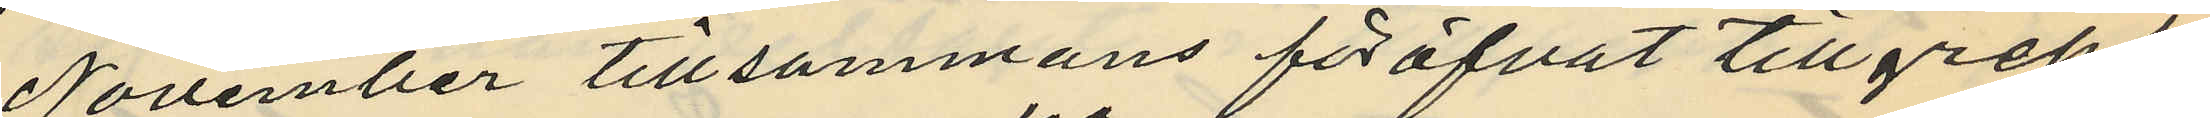 November tillsammans föröfvat tillgrepp
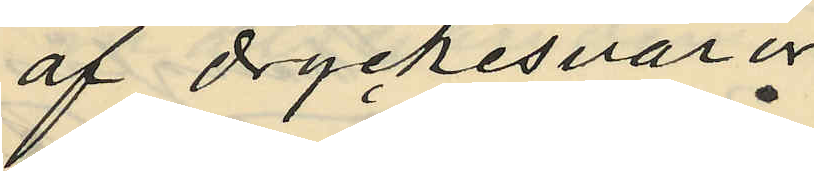af dryckesvaror
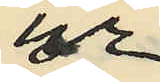ur
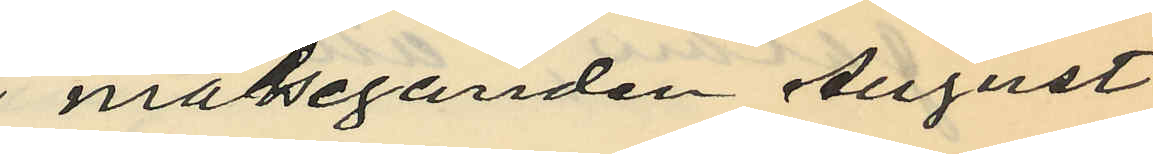målseganden August
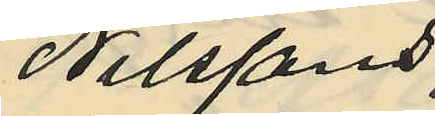Nilssons
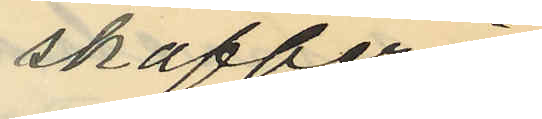skafferi
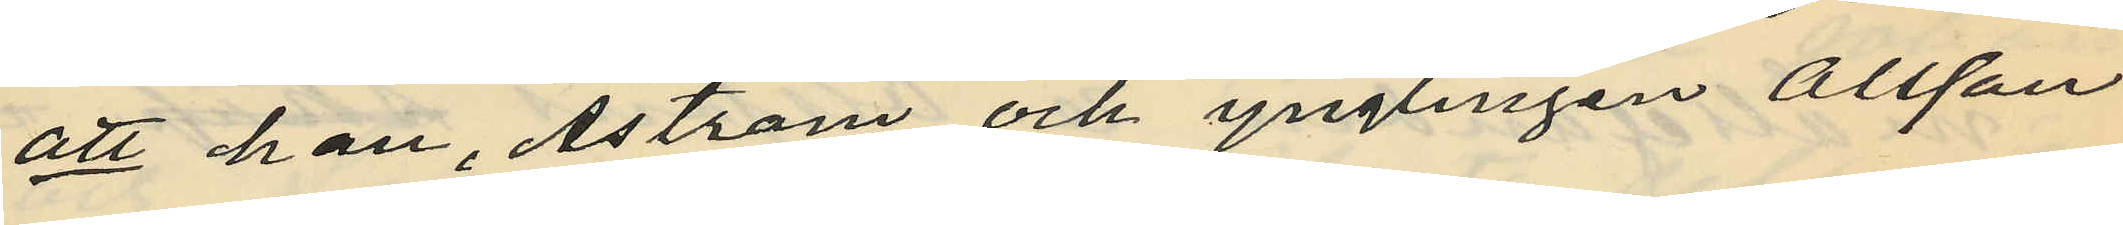att han, Åström och ynglingen Olsson
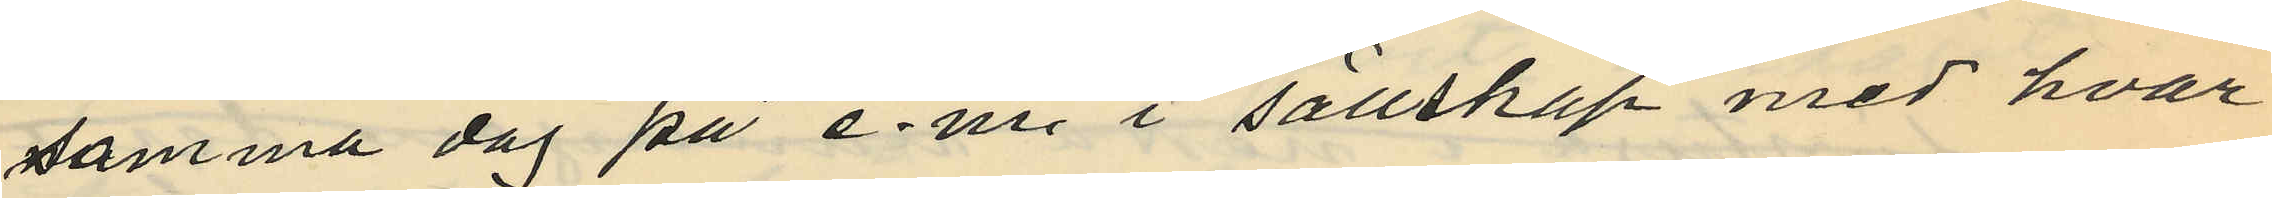samma dag på e.m. i sällskap med hvar¬
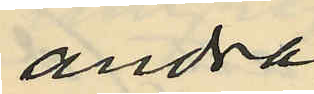andra
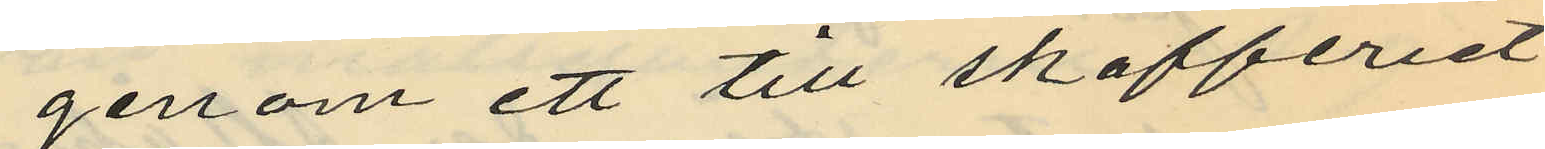genom ett till skafferiet
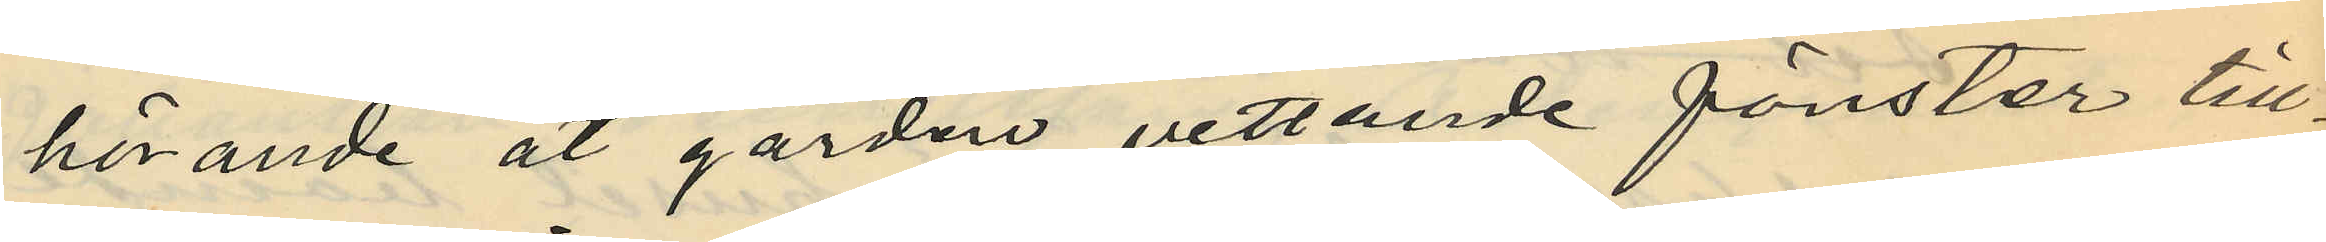hörande åt gården vettande fönster till¬
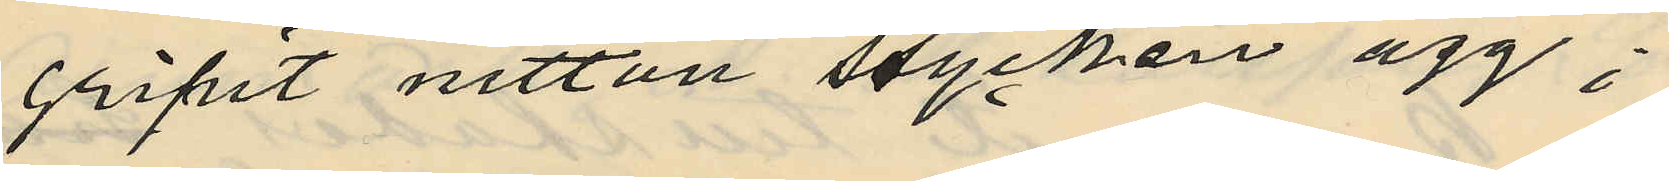gripit nitton stycken ägg;
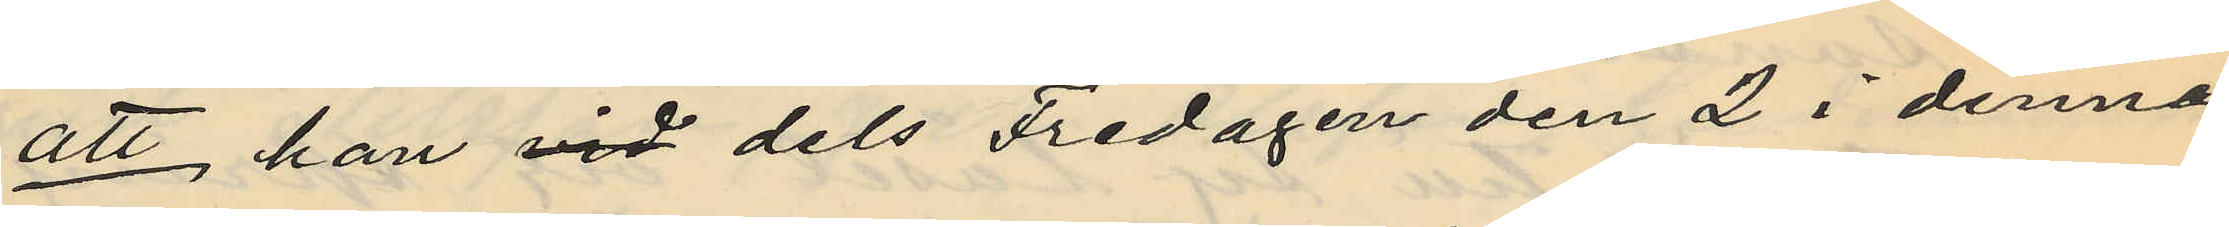att, han vid dels Fredagen den 2 i denna
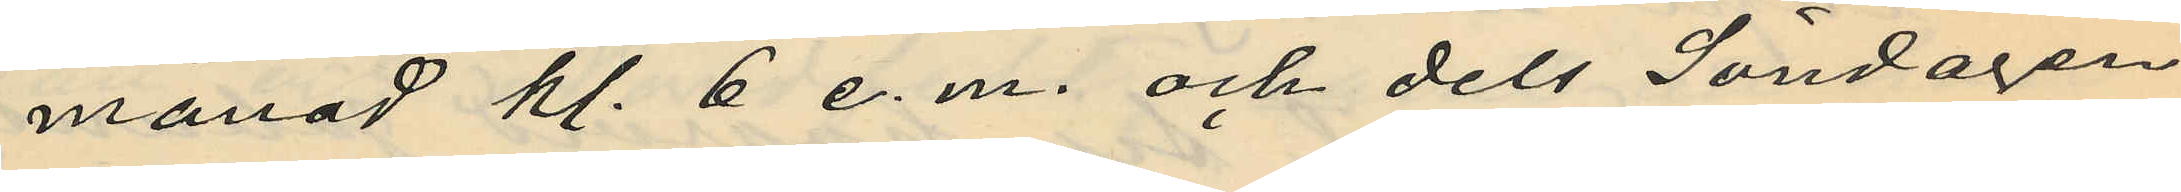månad kl. 6 e. m. och dels Söndagen
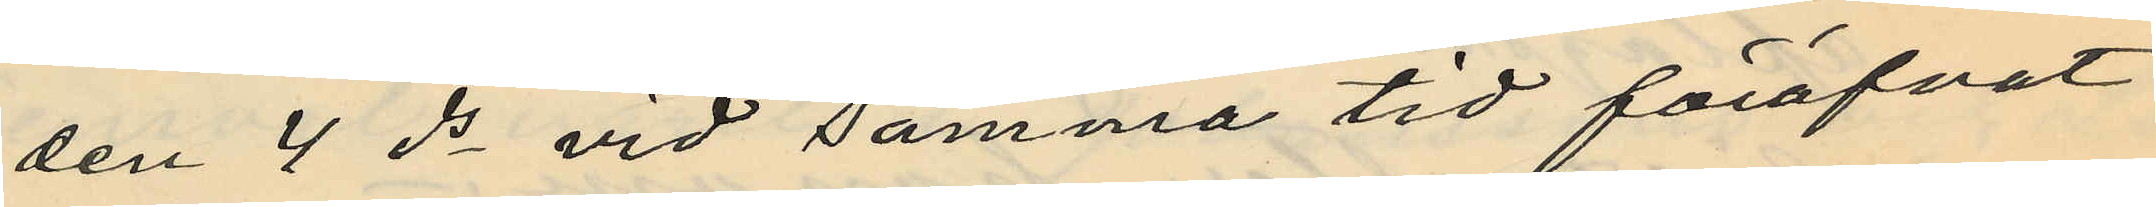den 4 ds vid samma tid föröfvat
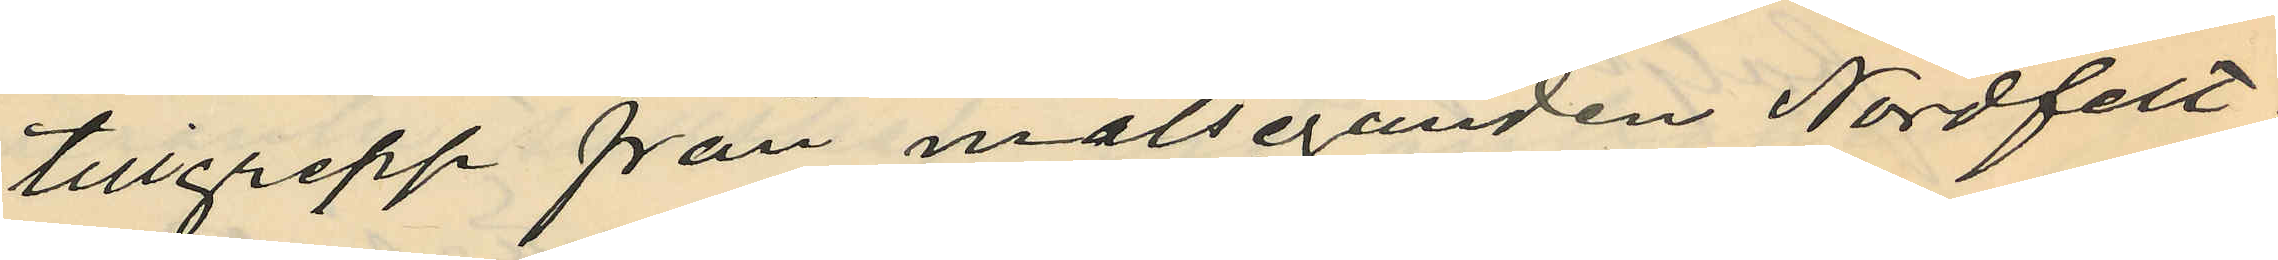tillgrepp från målseganden Nordfelt;
